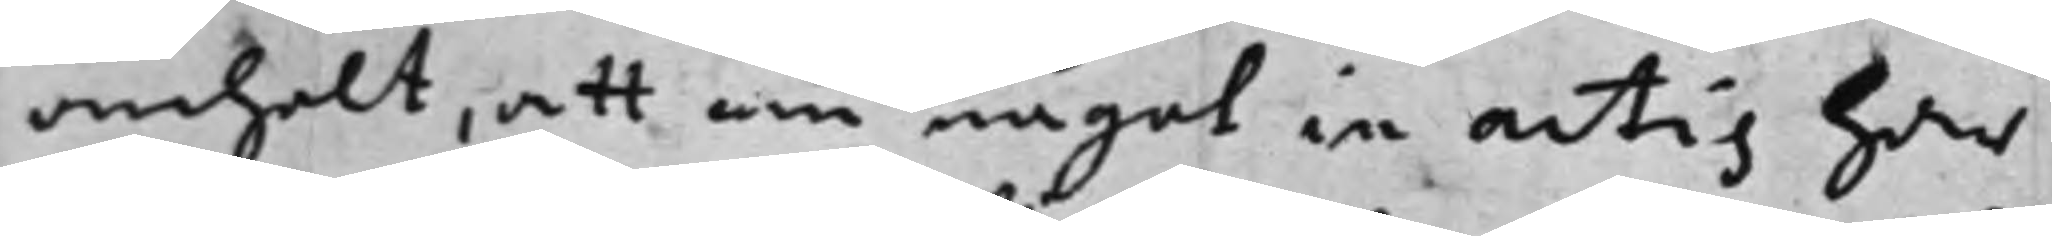anhölt, att om något in actis har
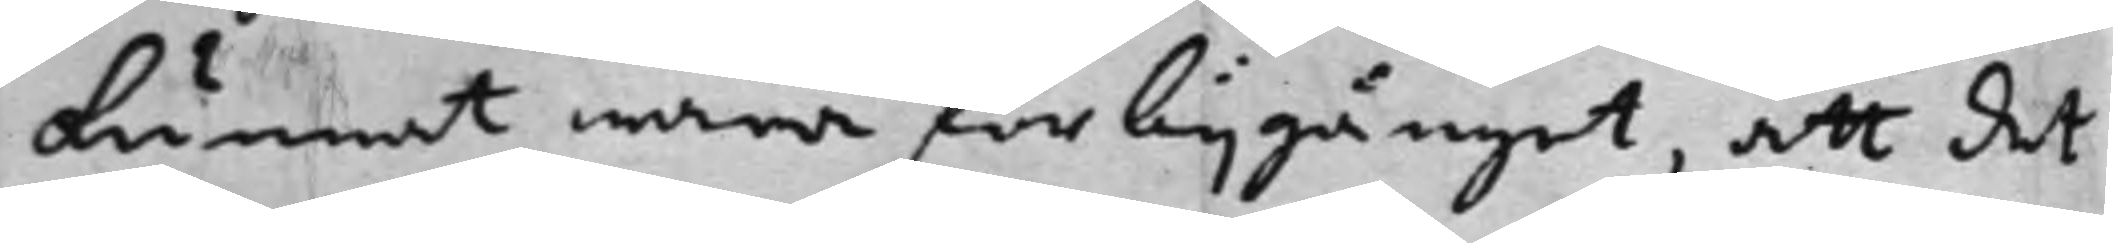kunnat wara förbijgånget, att det
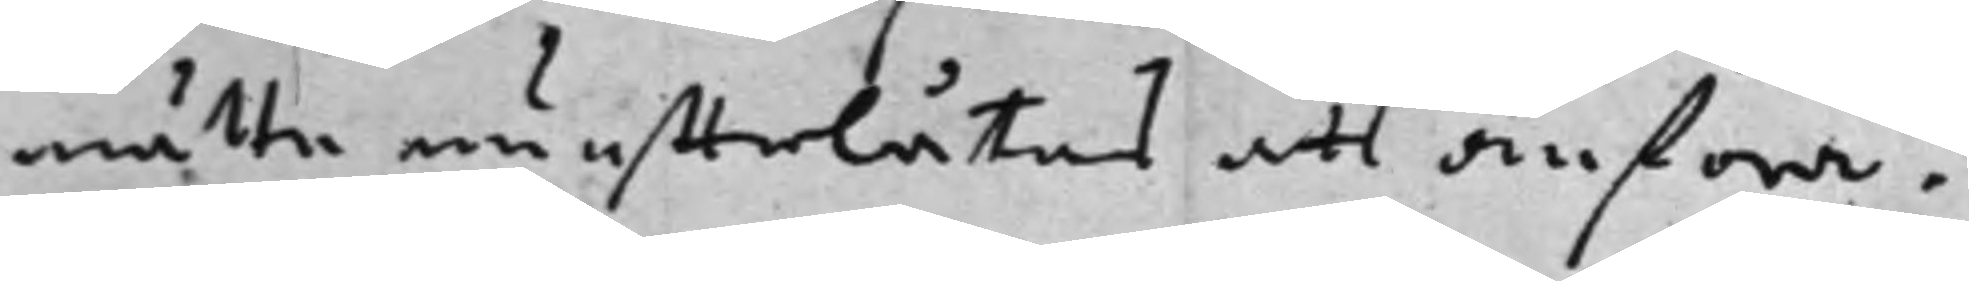måtte nu effterlåtas att anföra.
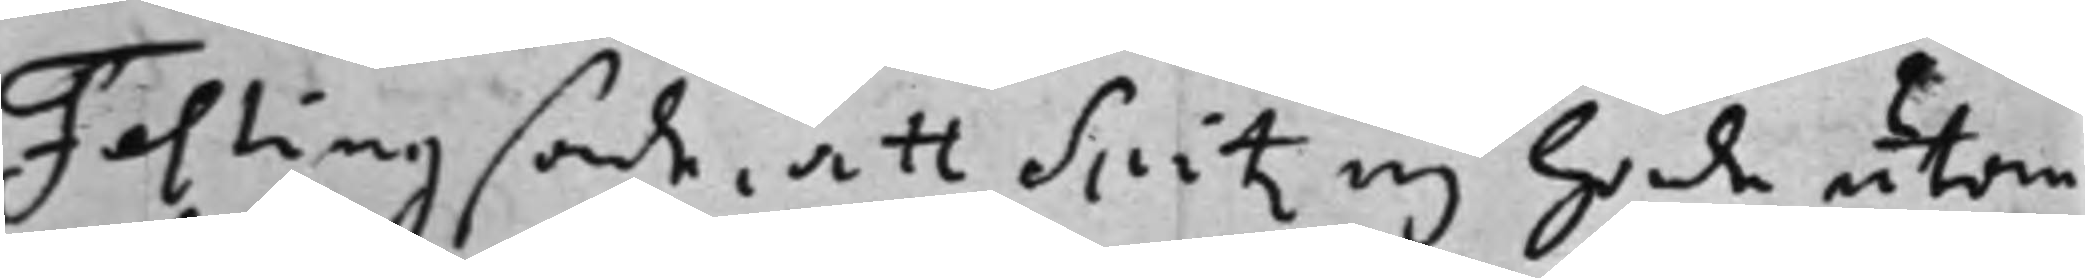Festing sade, att Spitz ej hade utom
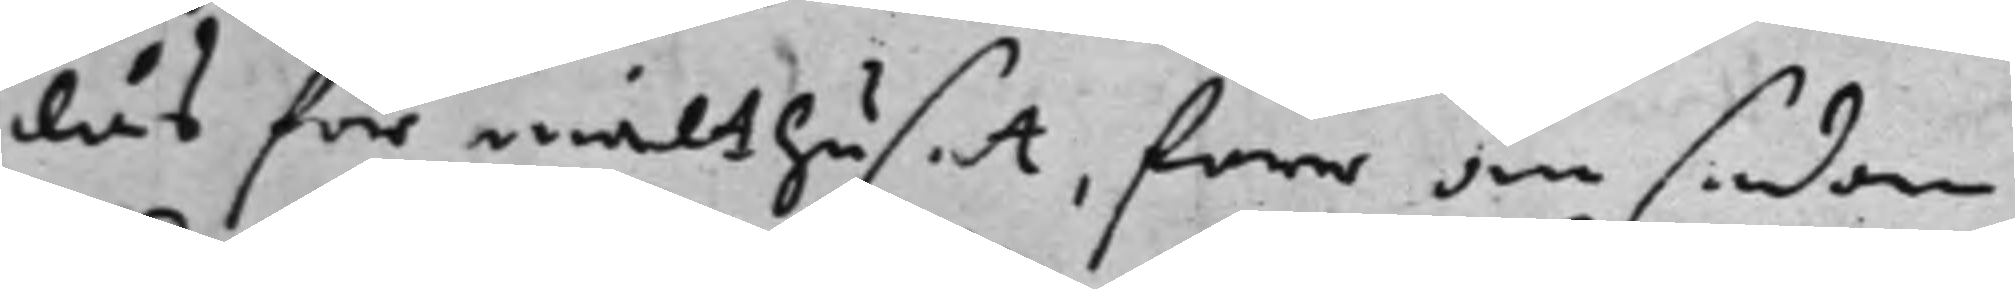lås för mälthuset, förr än sedan
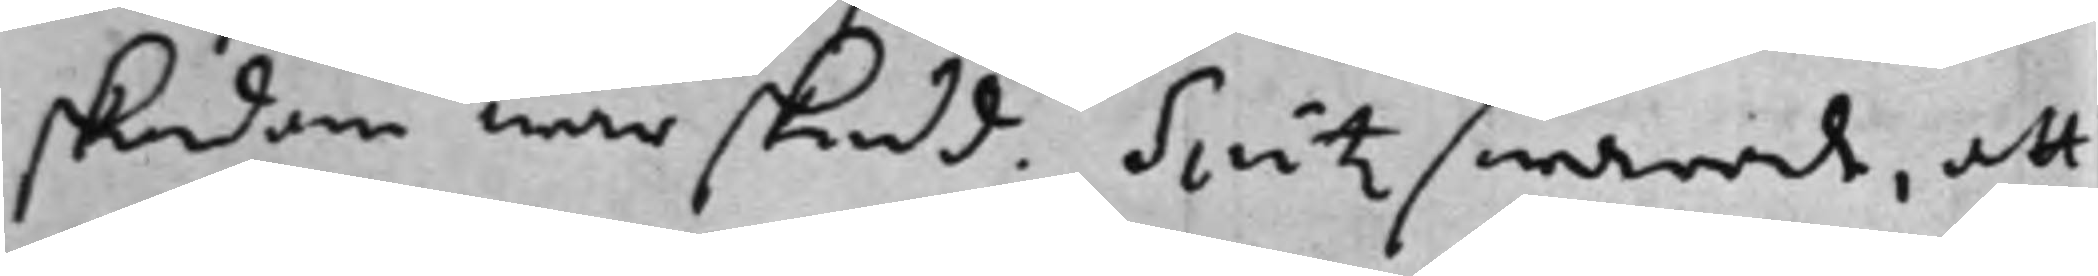skadan war skedd. Switz swarade, att
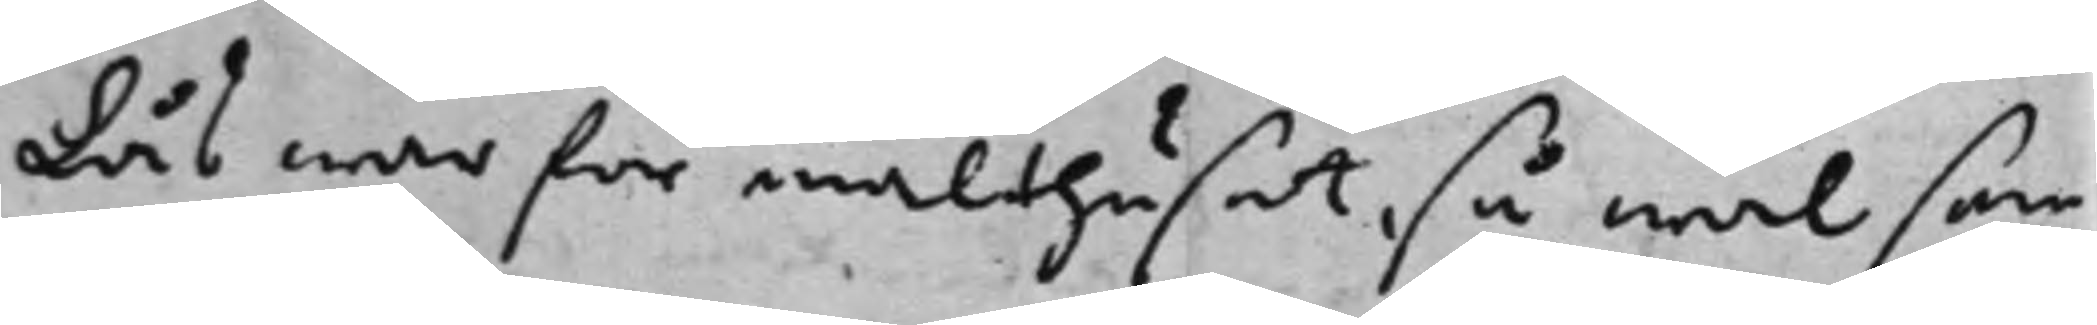Lås war för mälthuset, så wäl som
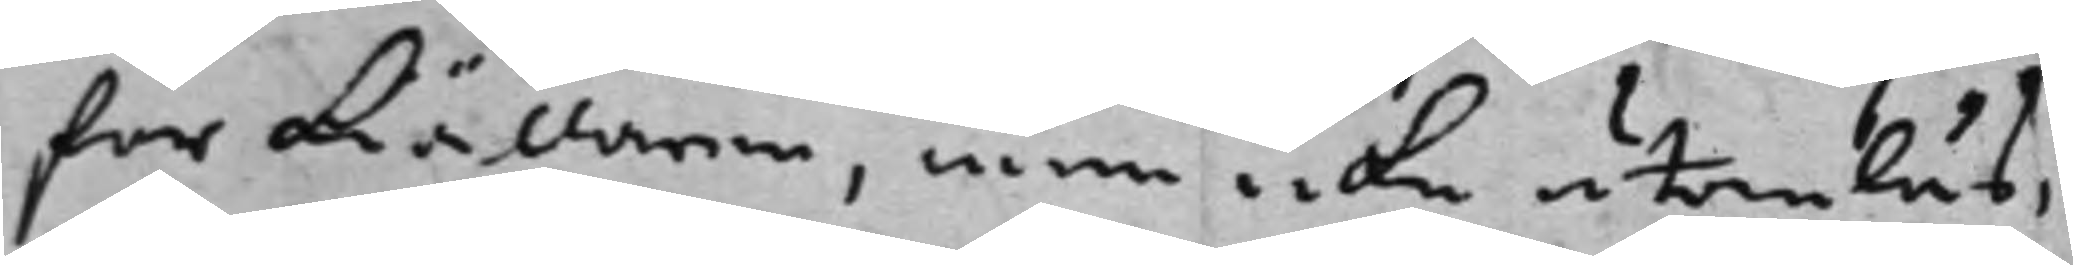för kiällaren, men icke utomhus,
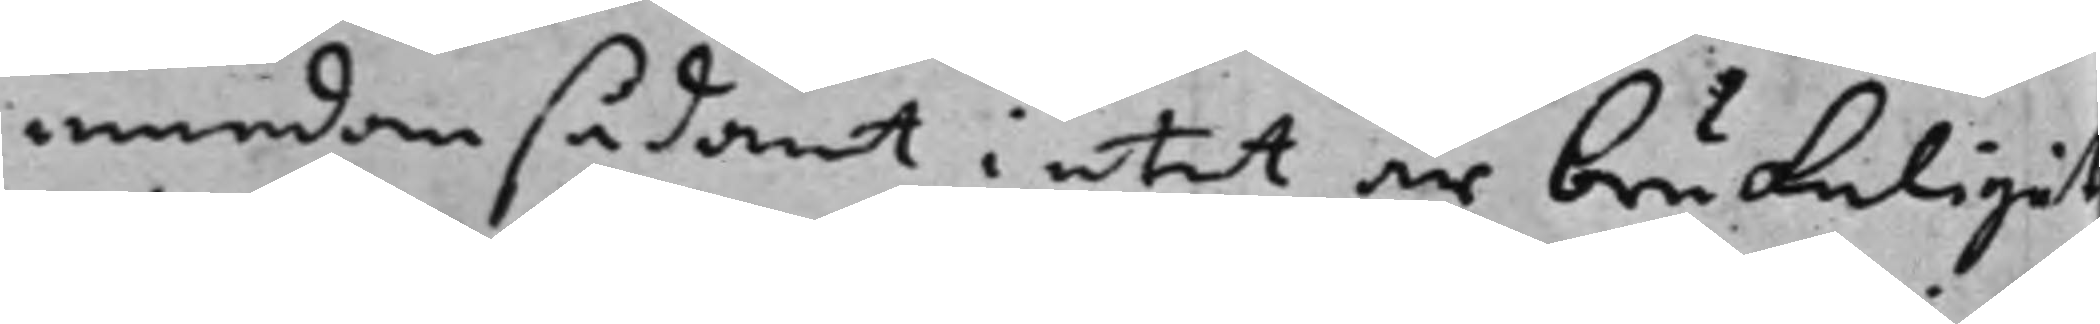emedan sådant intet är brukeligit
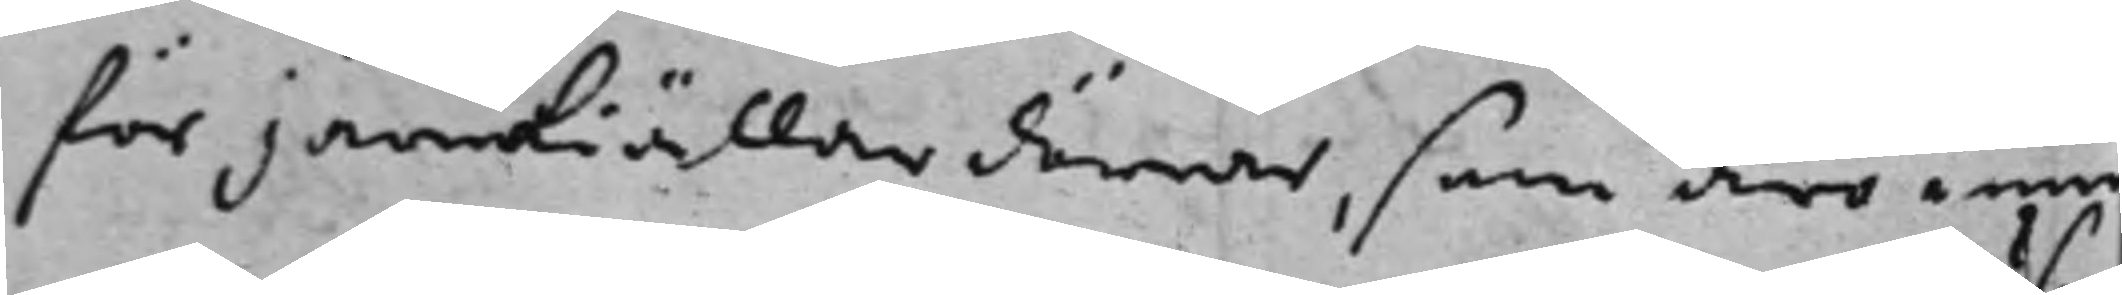för järnkiällardörrar, som äro inne
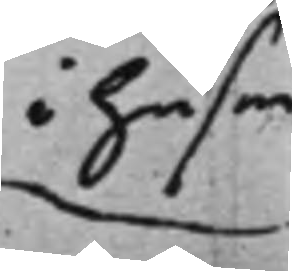i husen
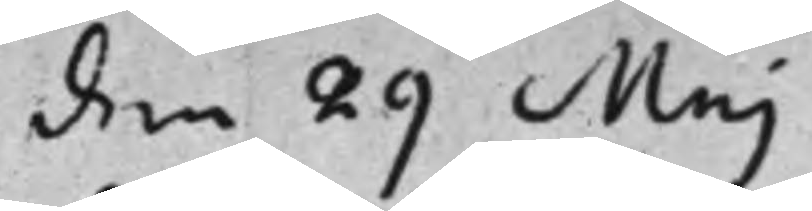den 29 Maj
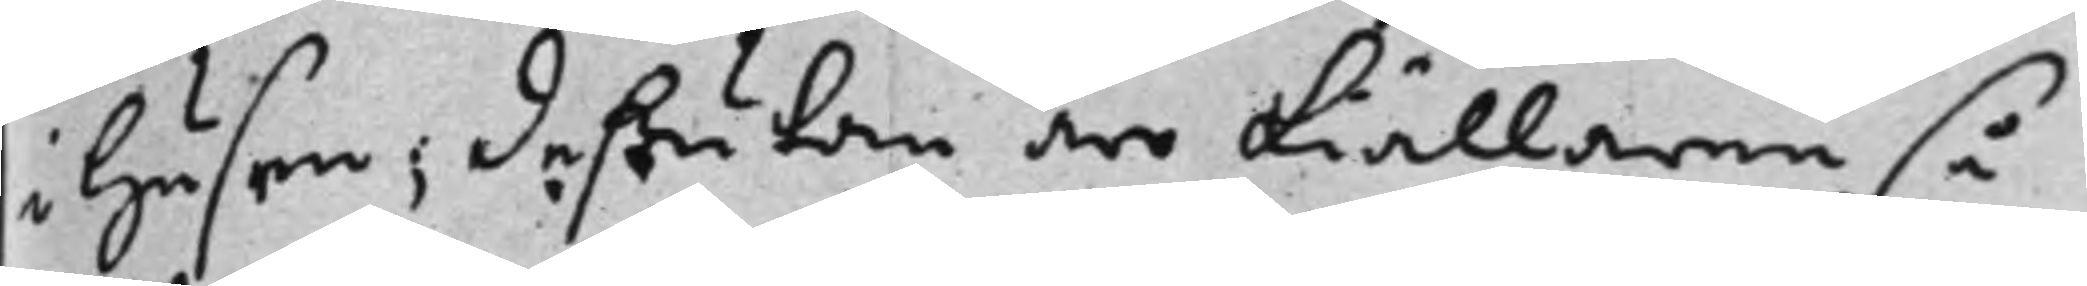i husen; deßutom äro kiällarne så
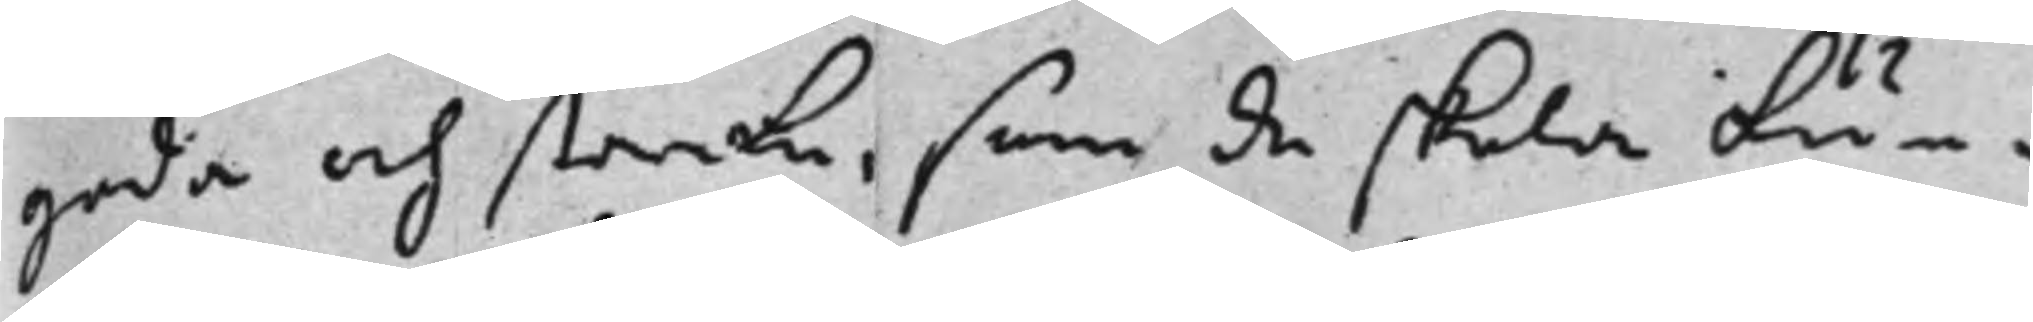goda och starka, som de skola kun¬
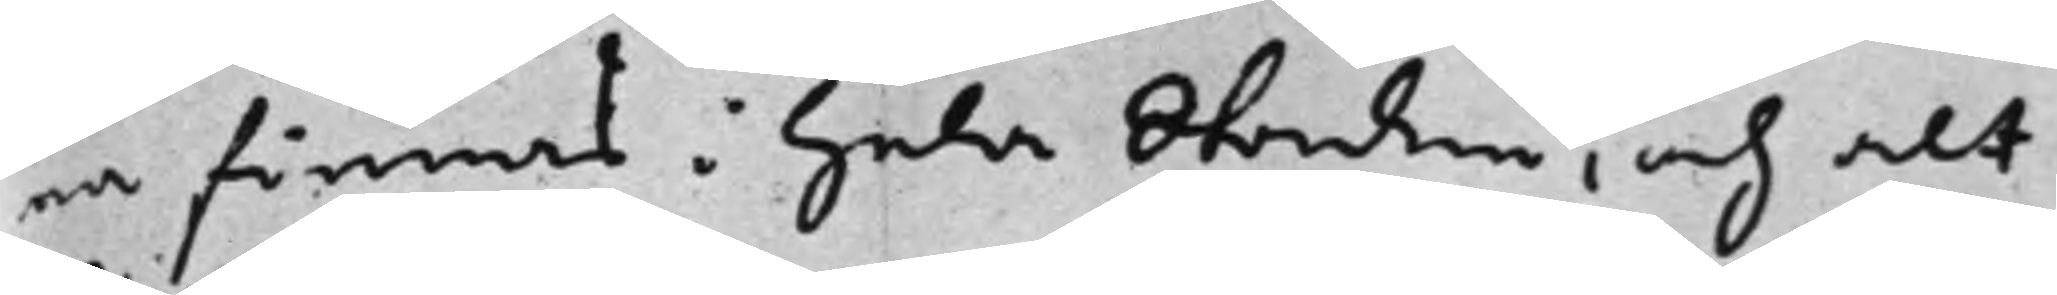na finnas i hela Staden, och alt¬
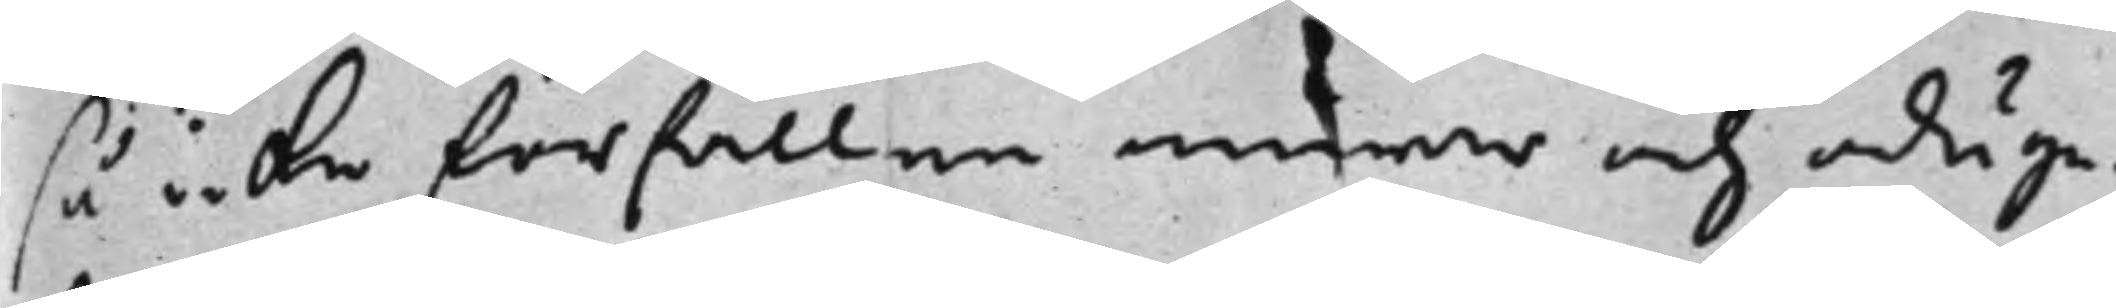så icke förfallne murar och oduge¬
